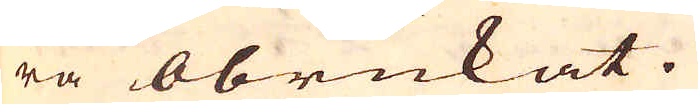ra obrukat.
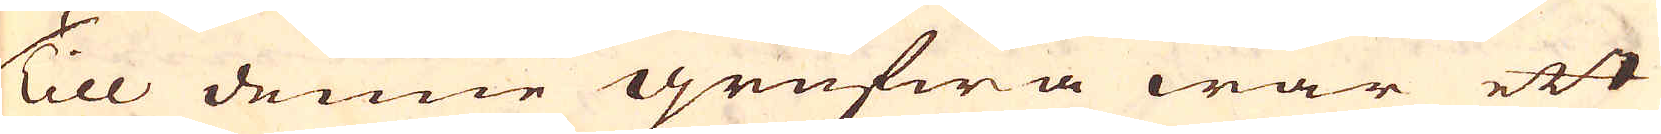Till denne grufwa war ett
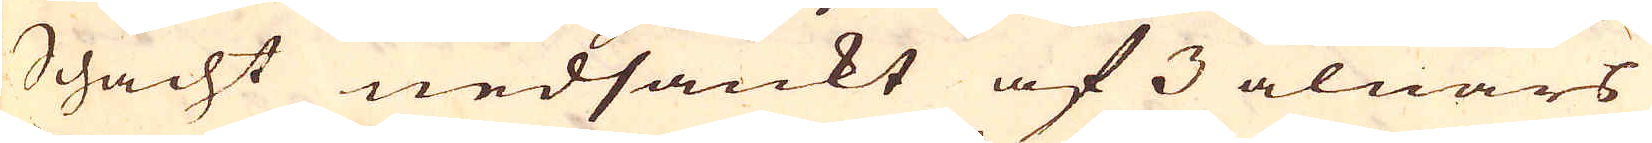Schacht nedsänkt af 3 alnars
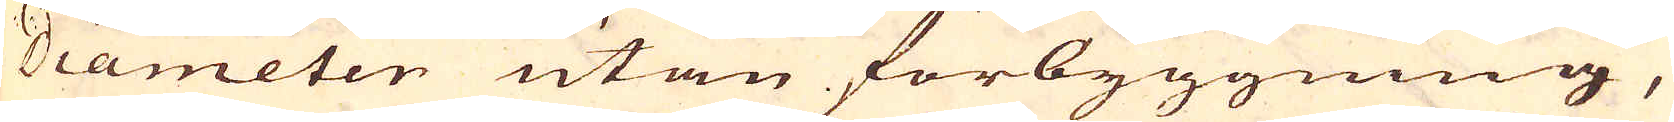diameter utan förbyggning,
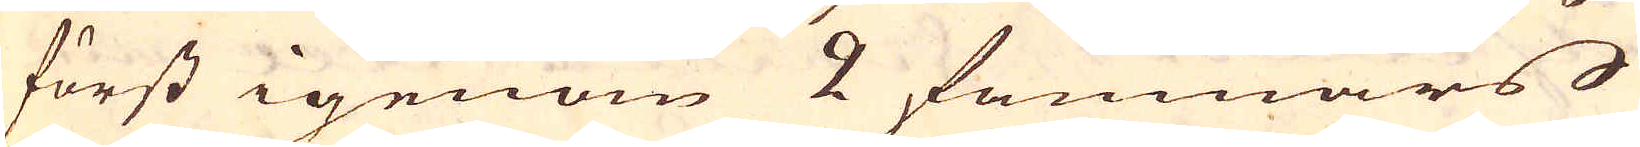först igenom 2 famnars
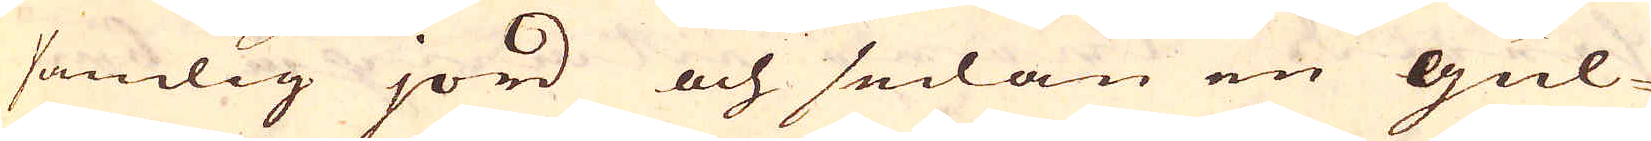sandig jord och sedan en Gul-
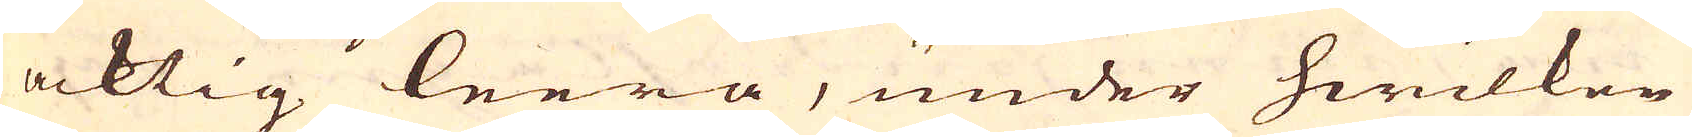acktig leera, under hwilken
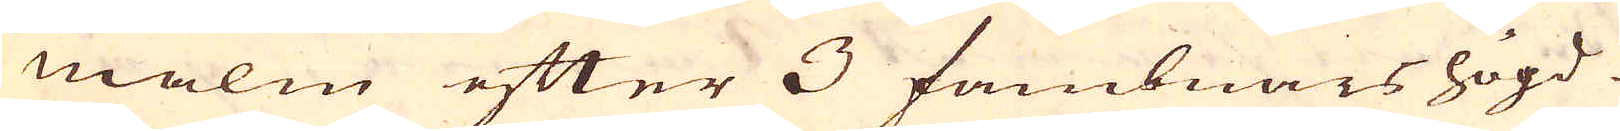malm efter 3 fambnars högd
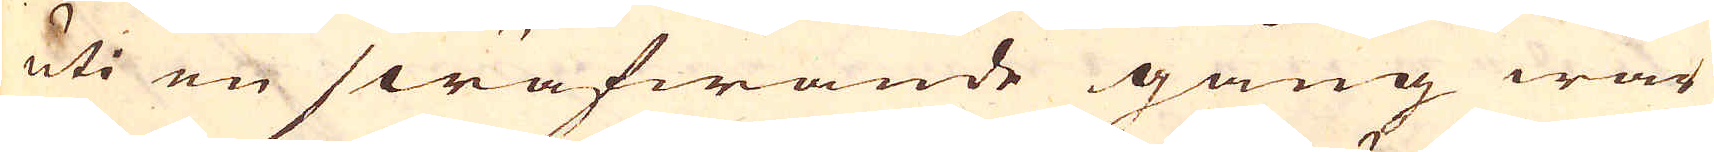uti en swäfwande gång war
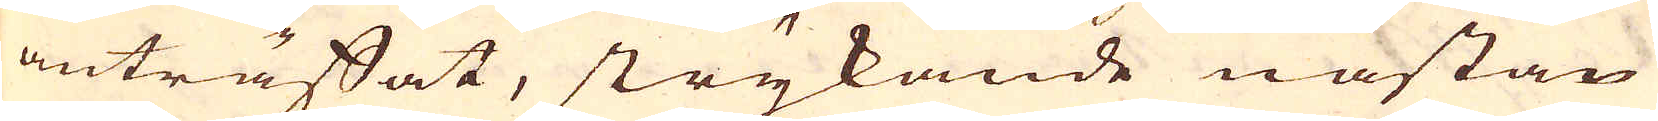anträffat, strykande nästan
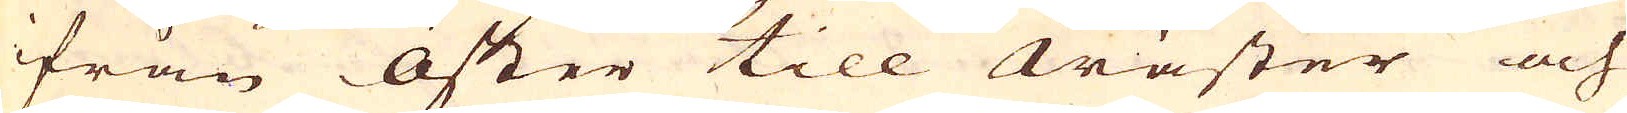ifrån öster till wäster och
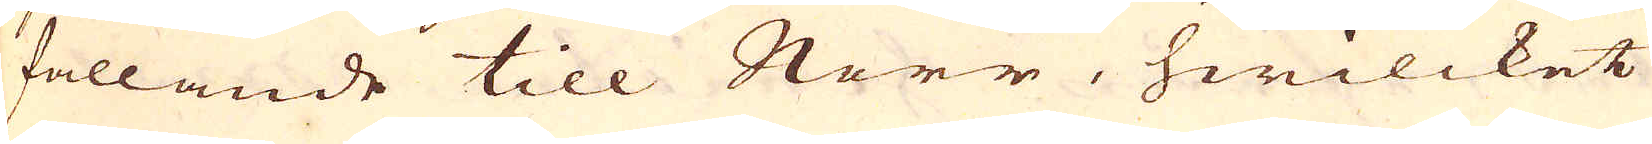fallande till Norr, hwilcket
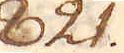821.
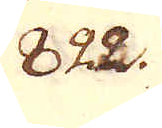822.
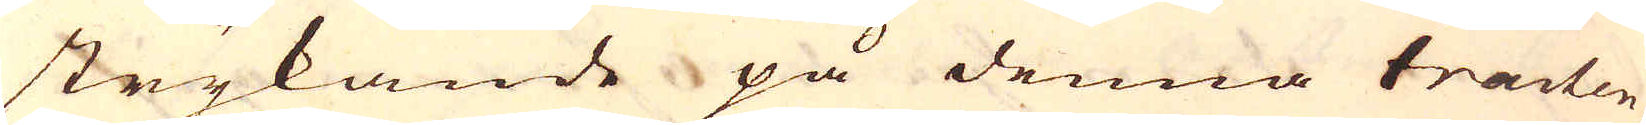strykande på denna tracten
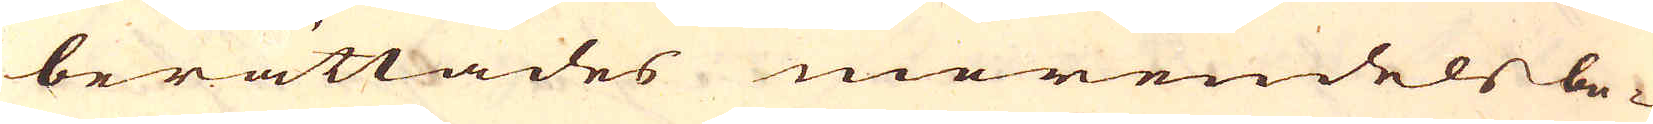berättades merendels be-
